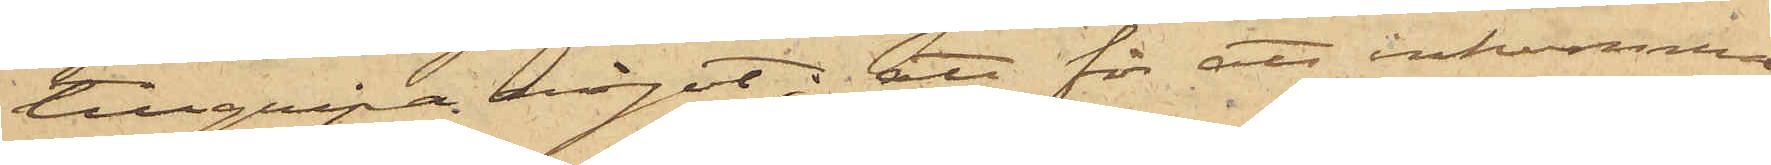tillgripa något; att för att inkomma
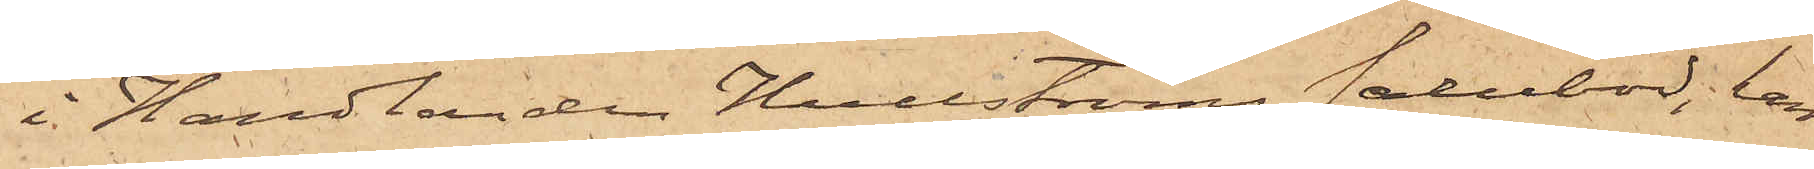i Handlanden Hullströms salubod, han
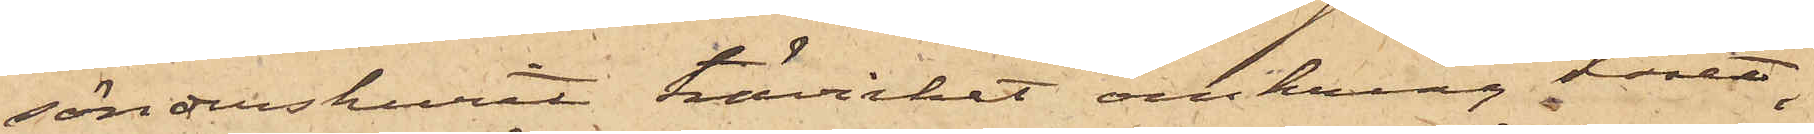sönderskurit trävirket omkring låset
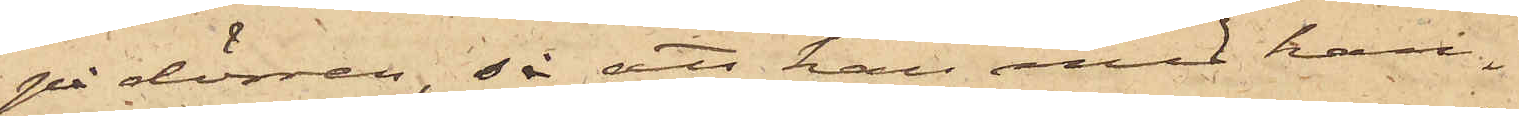på dörren, så att han med han¬
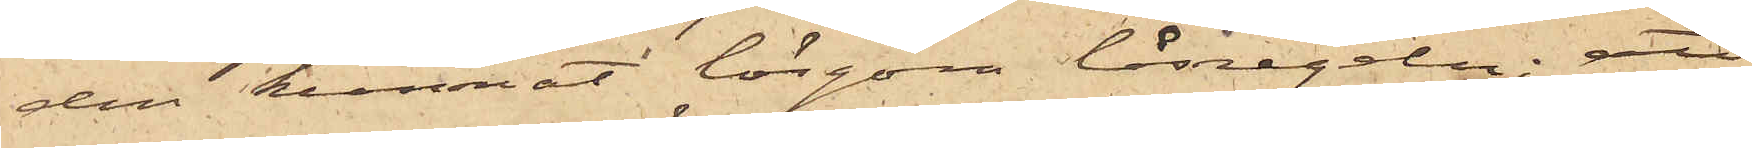den kunnat lösgöra låsregeln; att
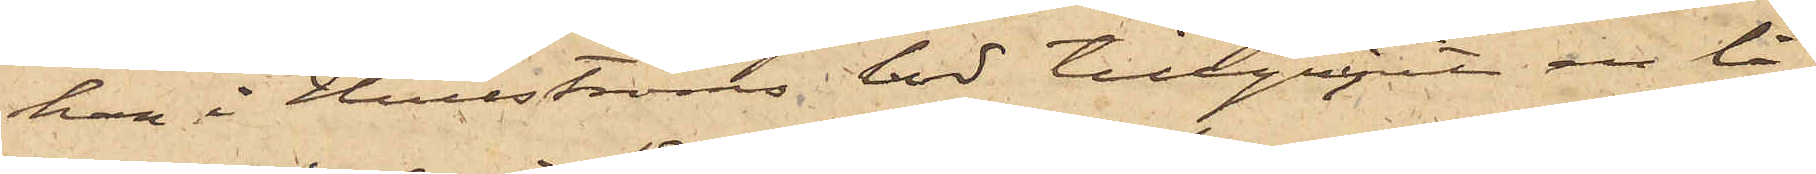han i Hullströms bod tillgripit en lå¬
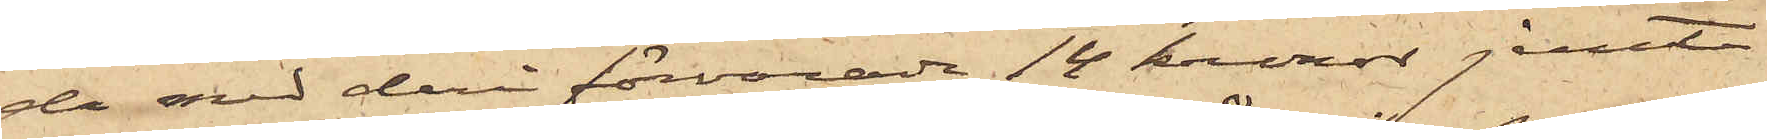da med deri förvarade 14 kronor jemte
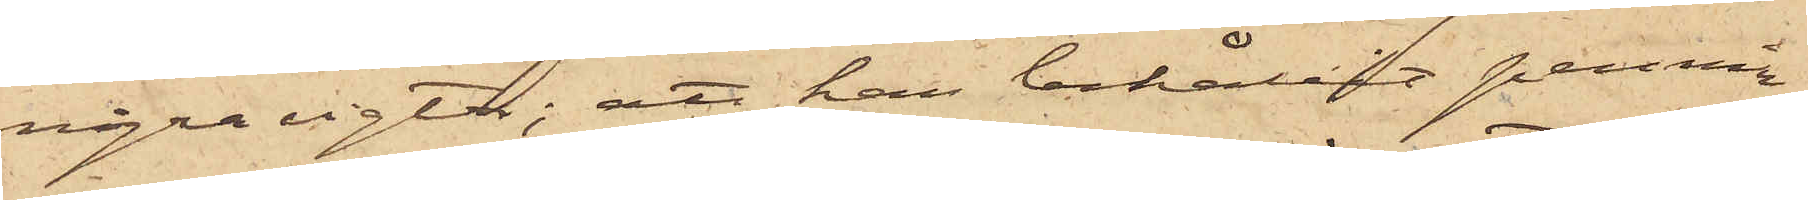några vigter; att han behållit pennin¬
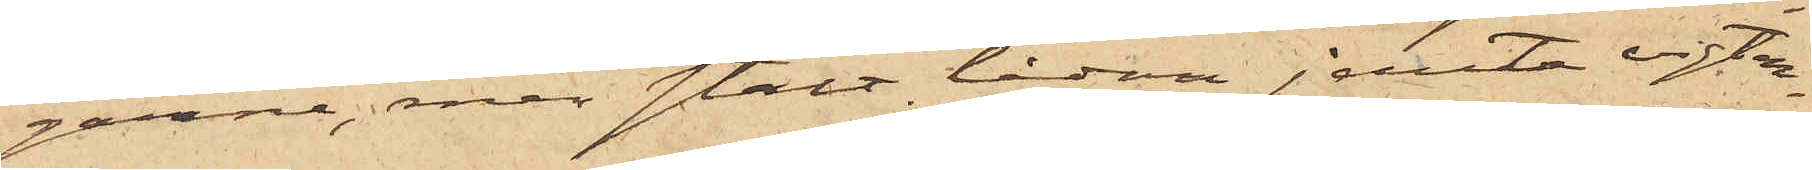garne, men stält lådan jemte vigter¬
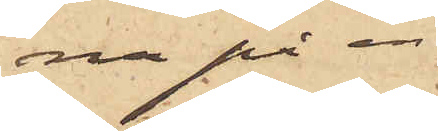na på en
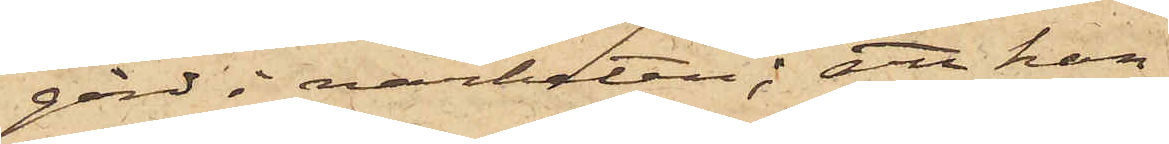gård i närheten; att han,
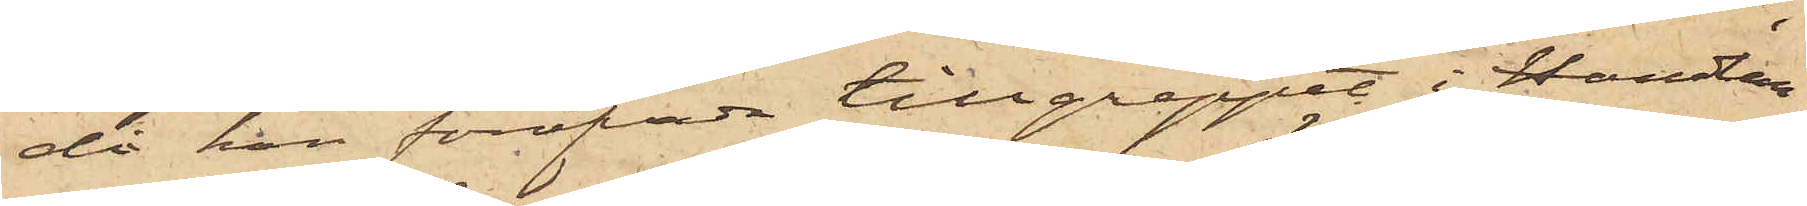då han föröfvade tillgreppet i Handlan¬
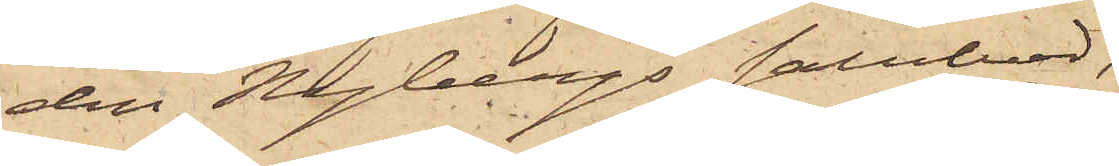den Hagbergs salubod,
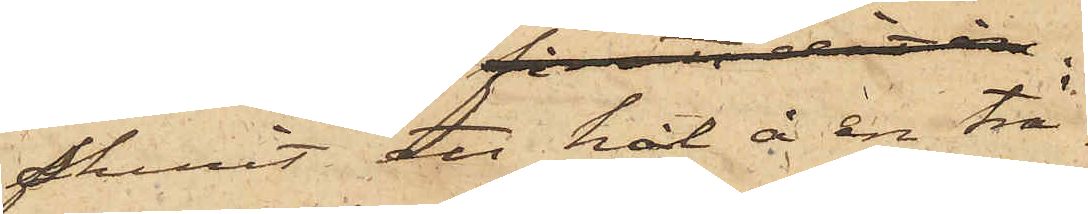funnit ett hål å en trä¬
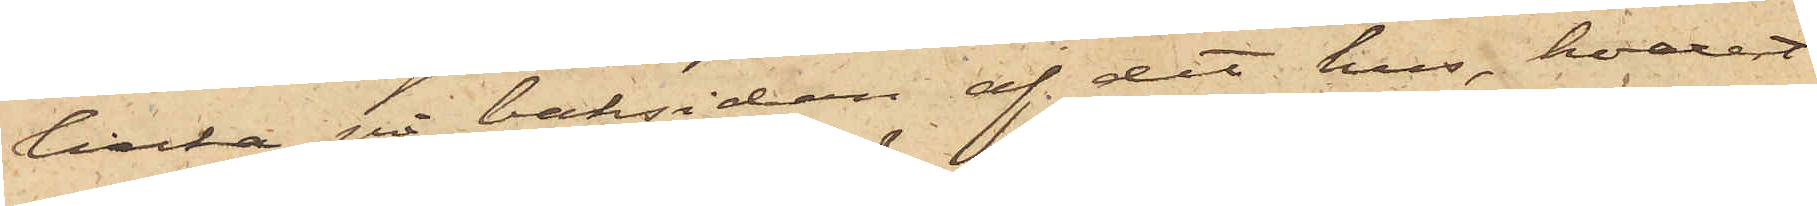lucka på baksidan af det hus, hvarest
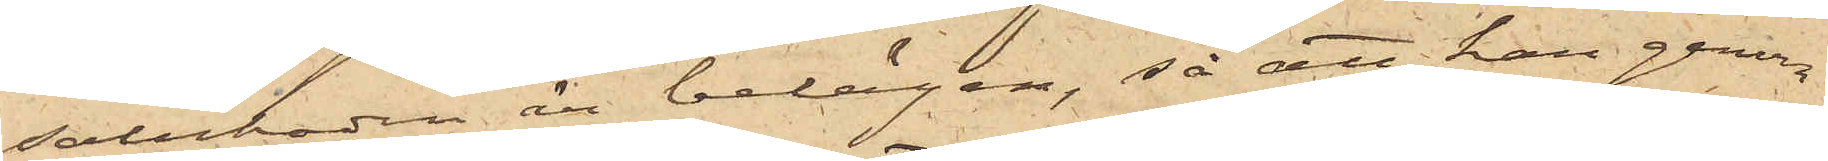saluboden är belägen, så att han genom
